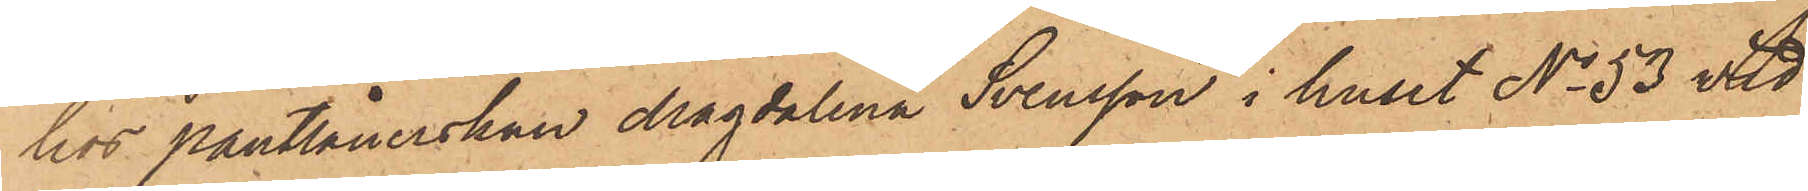hos Pantlånerskan Magdalena Svensson i huset No 53 vid
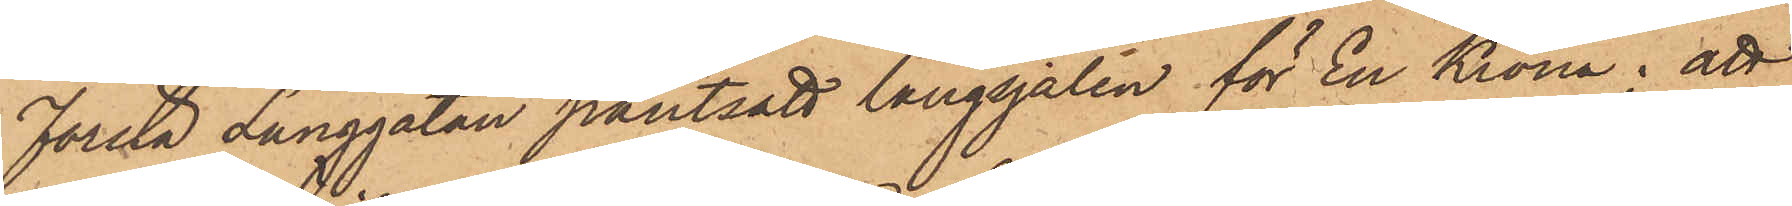Första Långgatan pantsatt långsjalen för En Krona; att
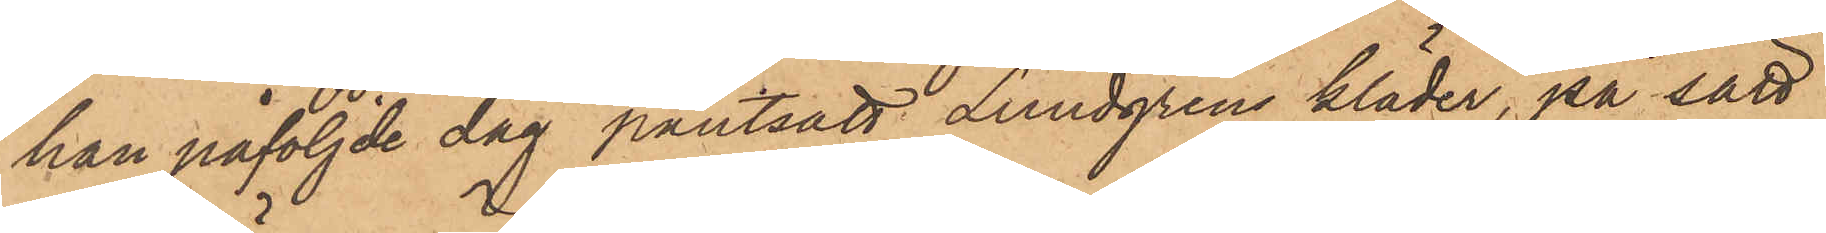han påföljde dag pantsatt Lundgrens kläder, på sätt
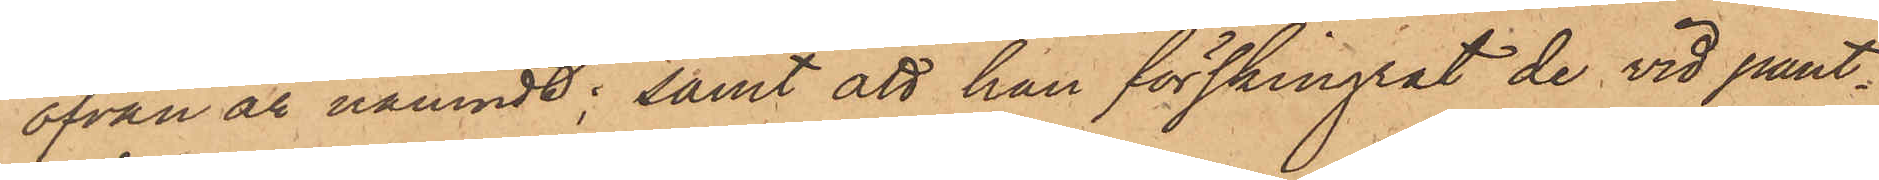ofvan är nämndt; samt att han förskingrat de vid pant¬
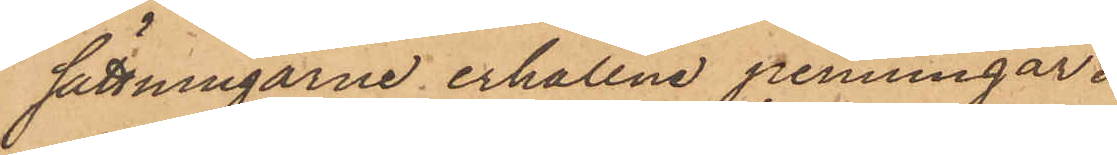sättningarne erhållne penningar.
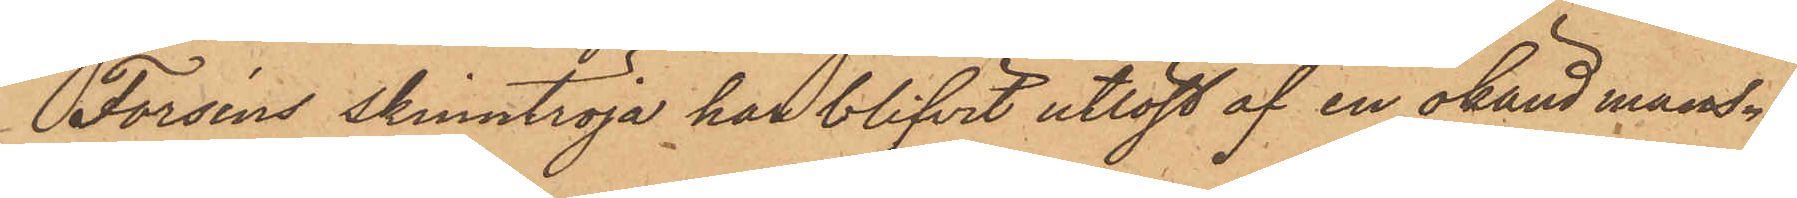Forséns skinntröja har blifvit utlöst af en okänd mans¬
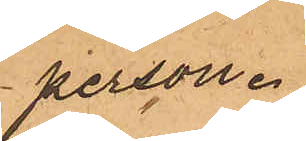person.
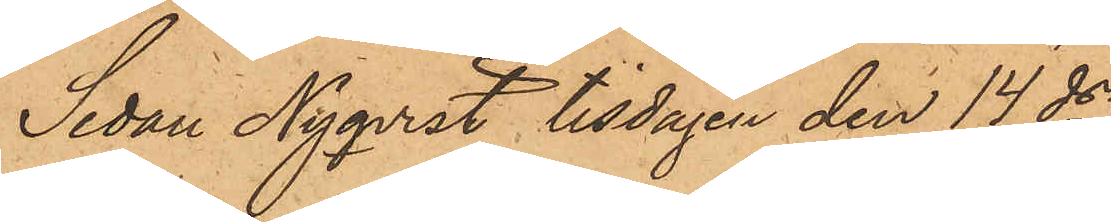Sedan Nyqvist tisdagen den 14 ds
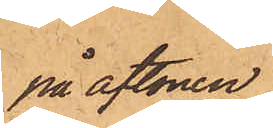på aftonen
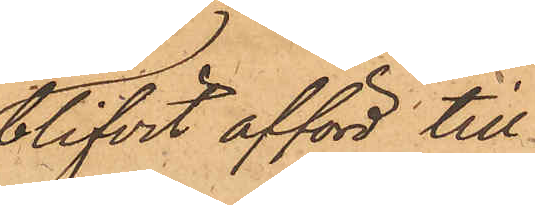blifvit afförd till
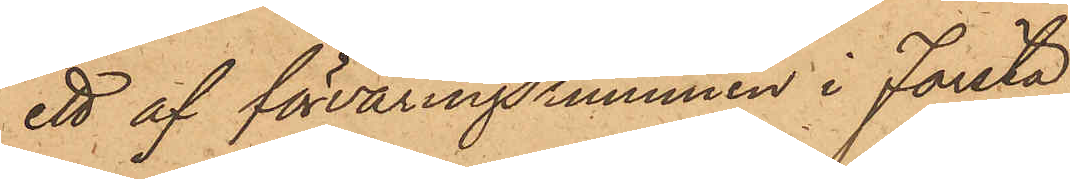ett af förvaringsrummen i Första
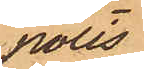polis¬
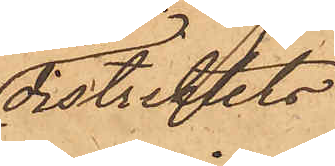distriktets
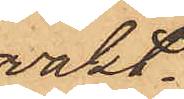vakt¬
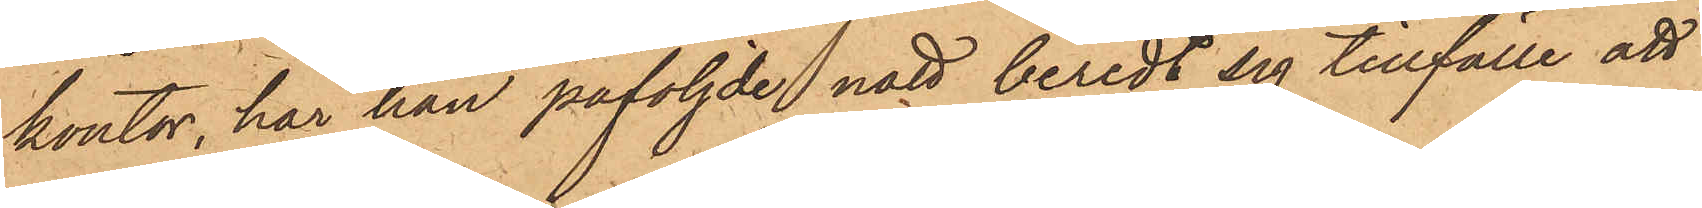kontor, har han påföljde natt beredt sig tillfälle att
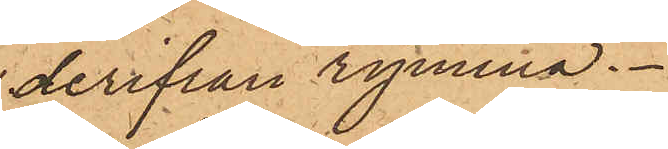derifrån rymma.
